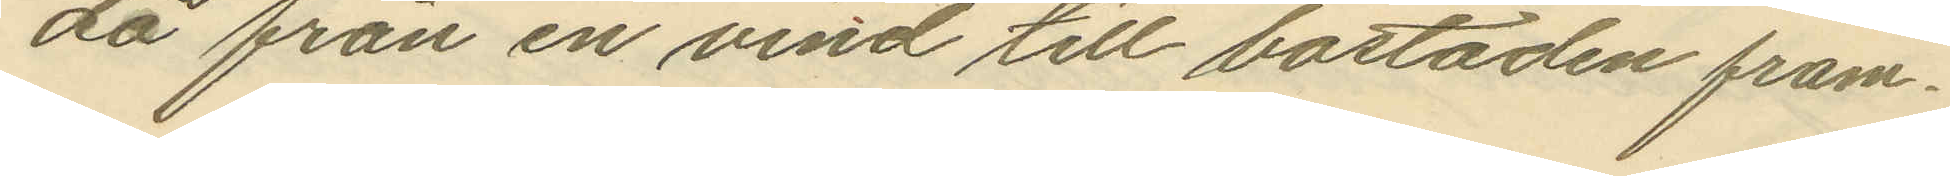da från en vind till bostaden fram¬
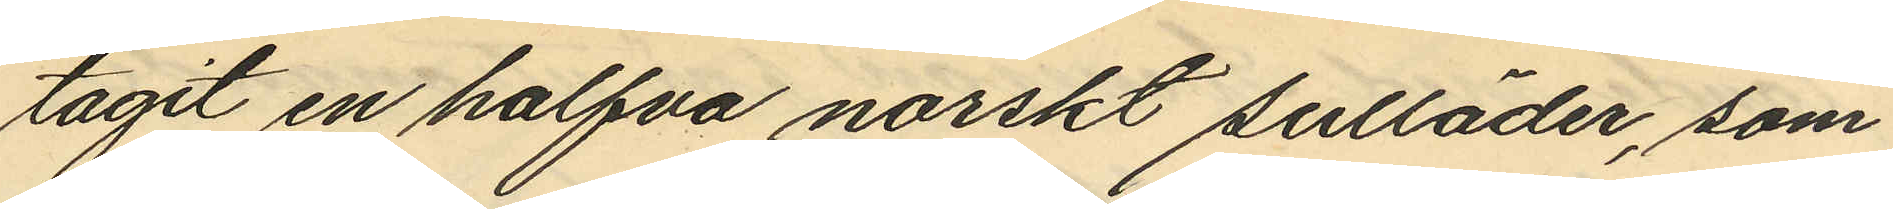tagit en halfva norskt sulläder, som
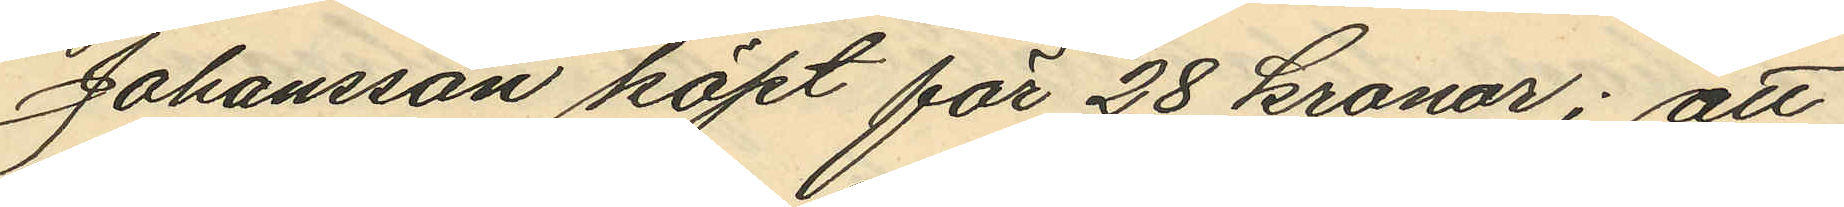Johansson köpt för 28 kronor; att
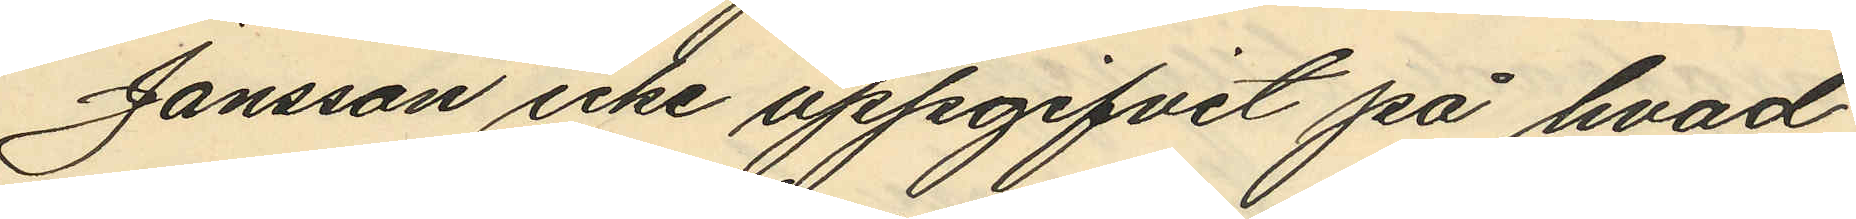Jansson icke uppgifvit på hvad
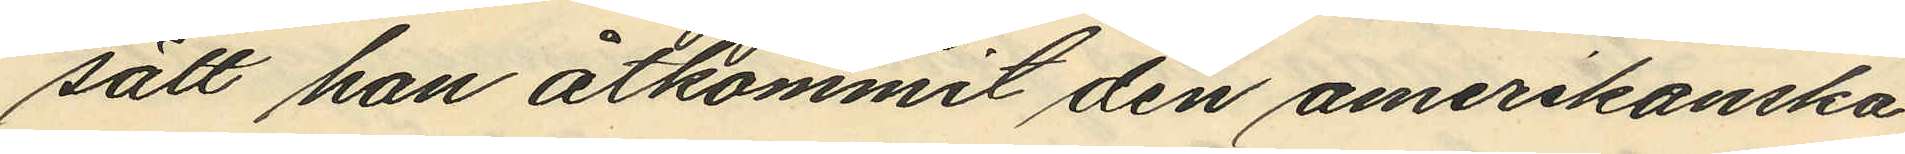sätt han åtkommit den amerikanska
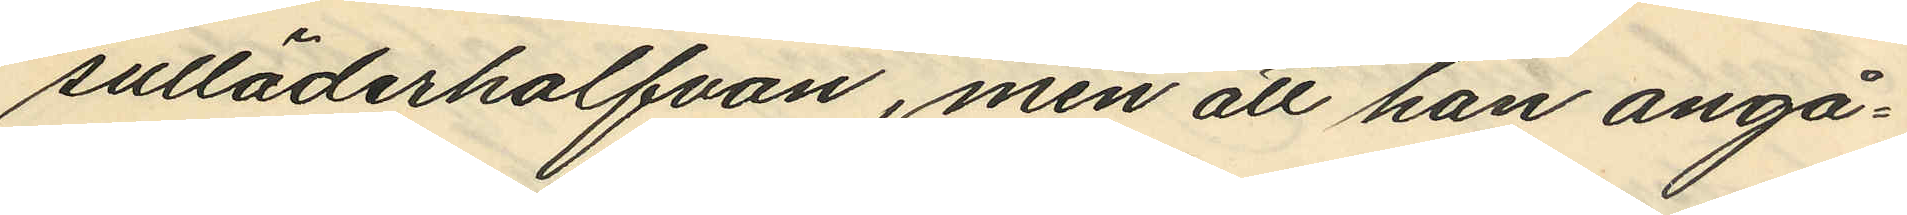sulläderhalfvan, men att han angå¬
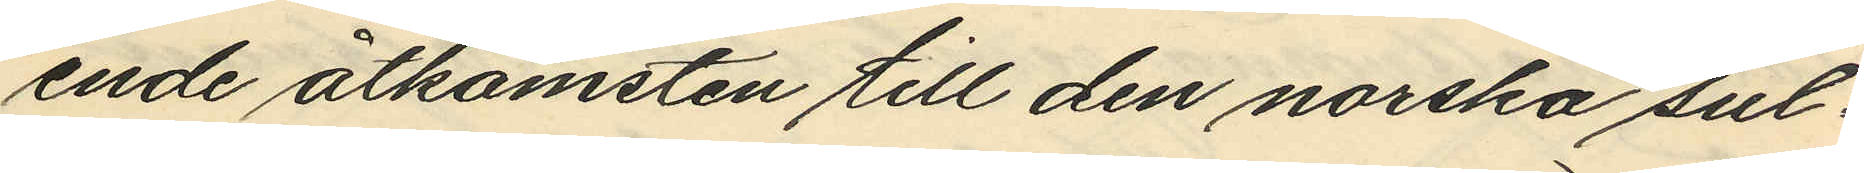ende åtkomsten till den norska sul¬
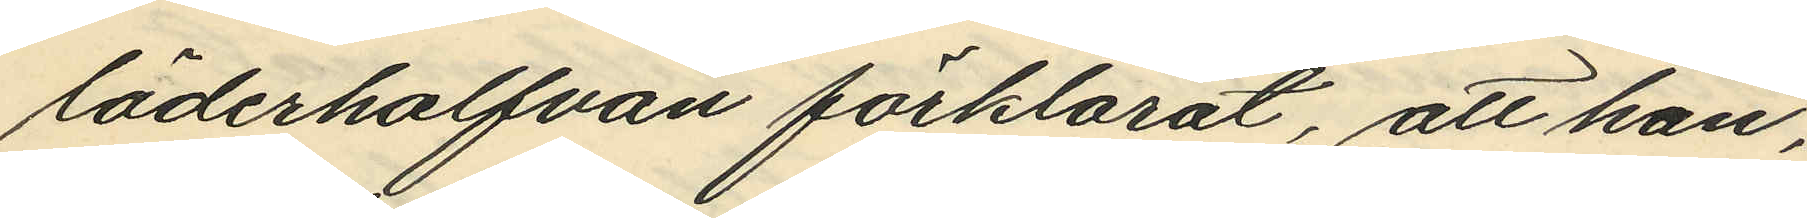läderhalfvan förklarat, att han,
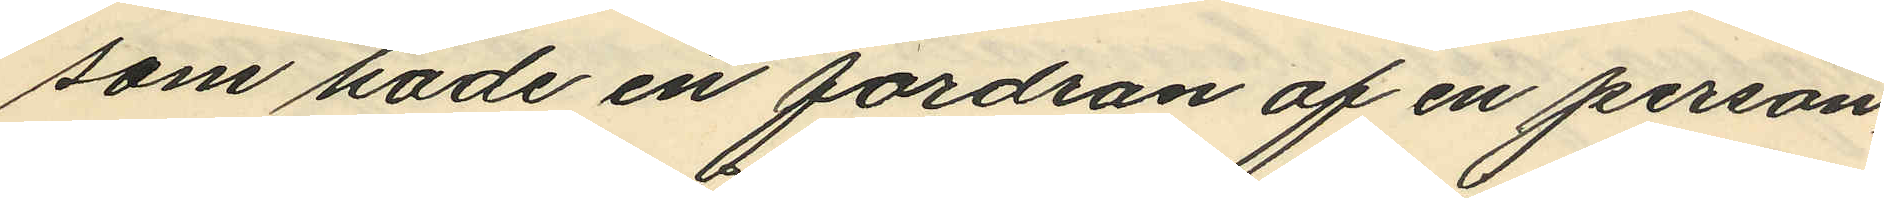som hade en fordran af en person,
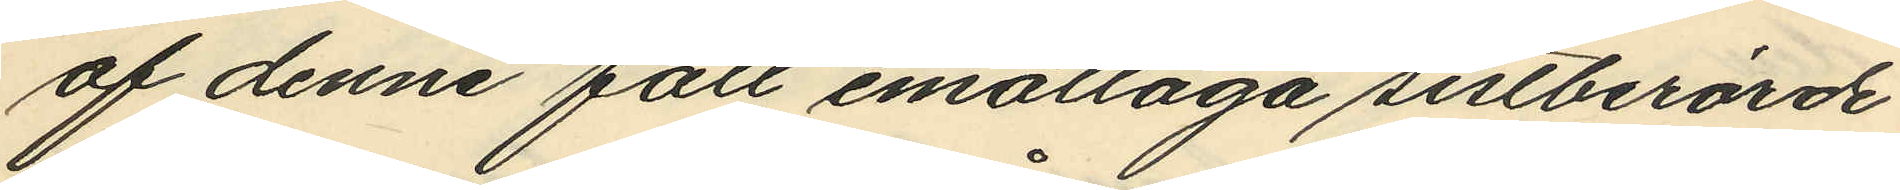af denne fått emottaga sistberörde
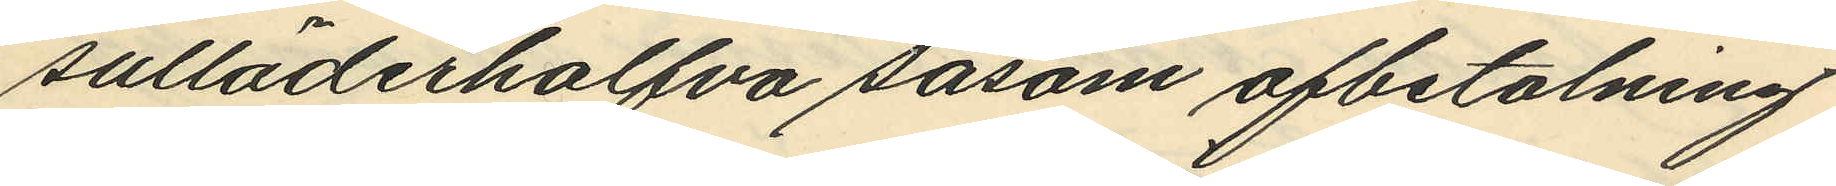sulläderhalfva såsom afbetalning
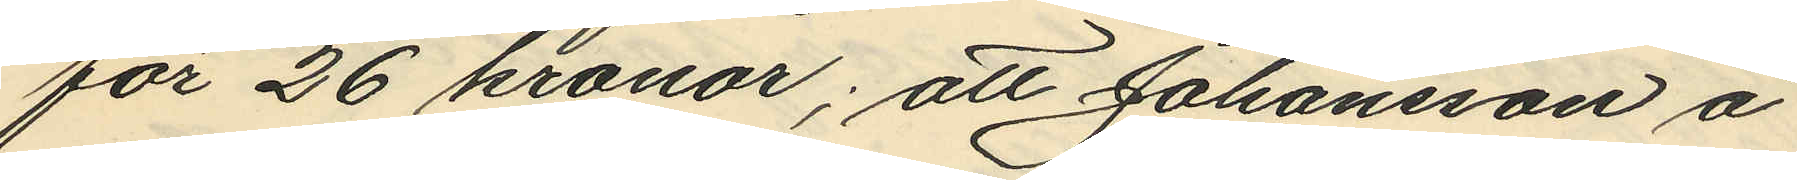för 26 kronor; att Johansson å
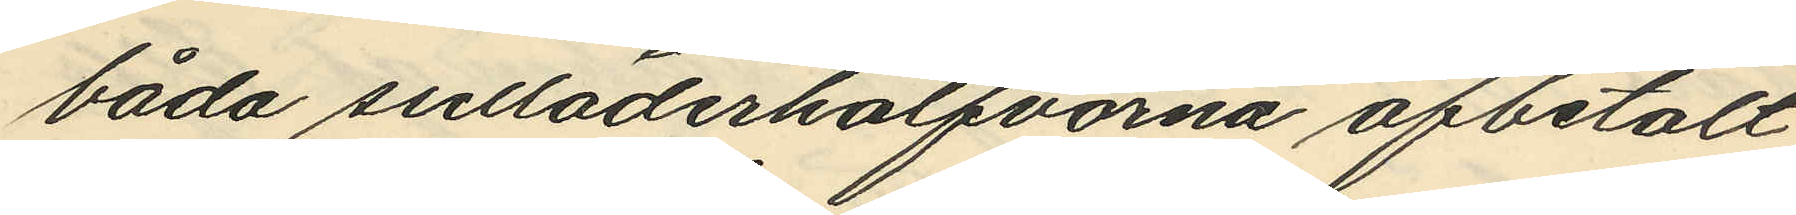båda sulläderhalfvorna afbetalt
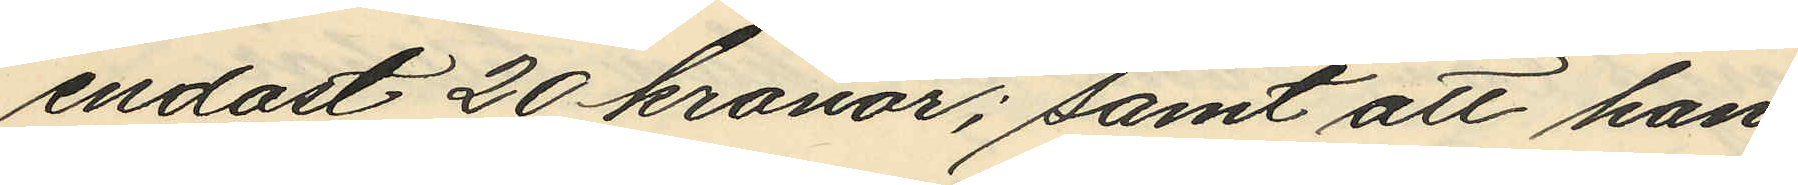endast 20 kronor; samt att han
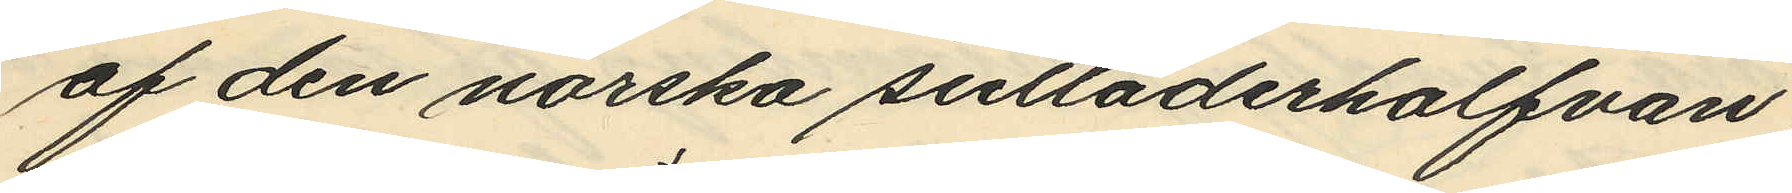af den norska sulläderhalfvan,
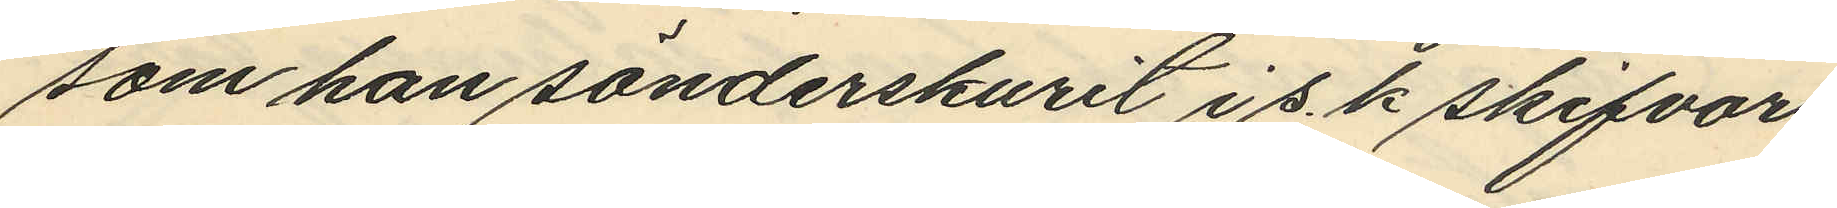som han sönderskurit i s.k skifvor,
